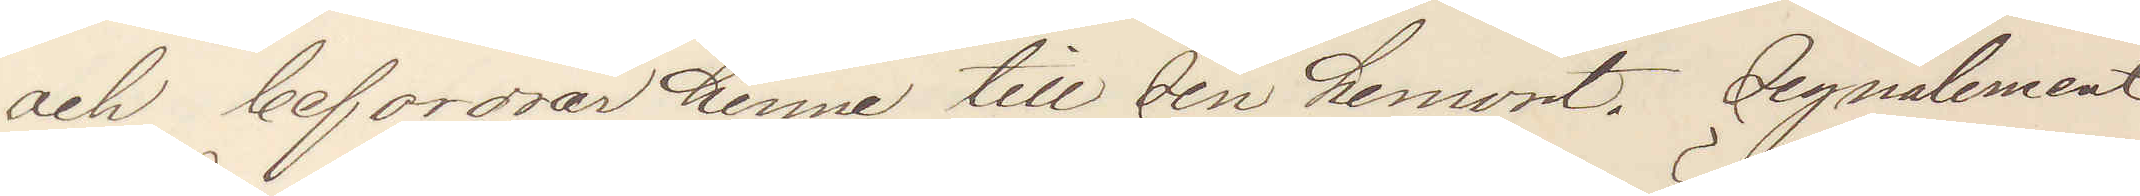och befordrar henne till sin hemort. Signalement
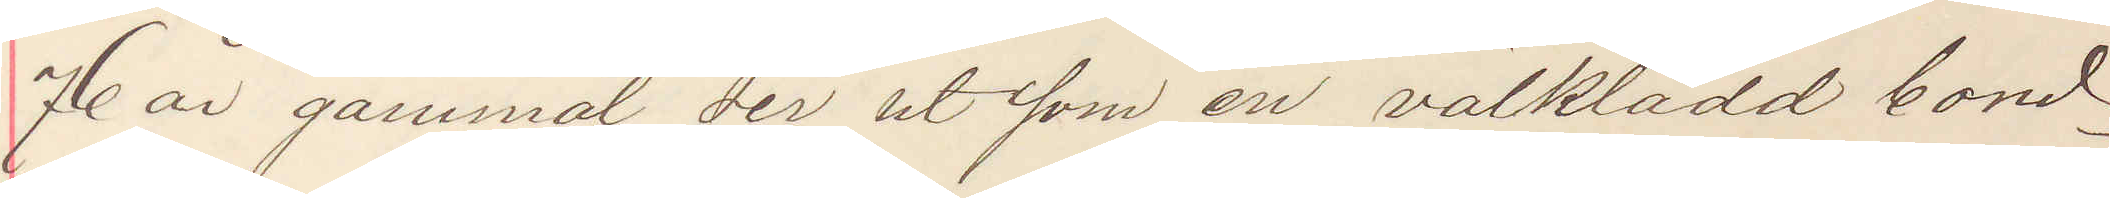76 år gammal ser ut som en välklädd bond¬
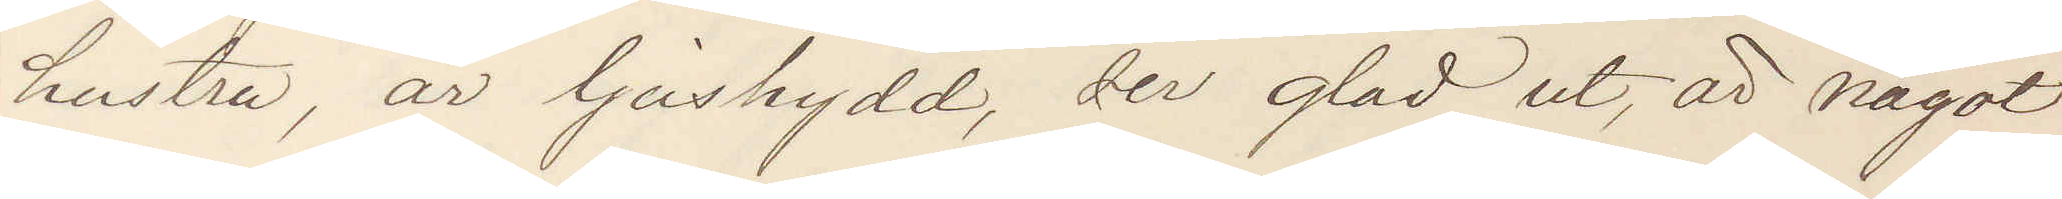hustru, är ljushydd, ser glad ut, är något
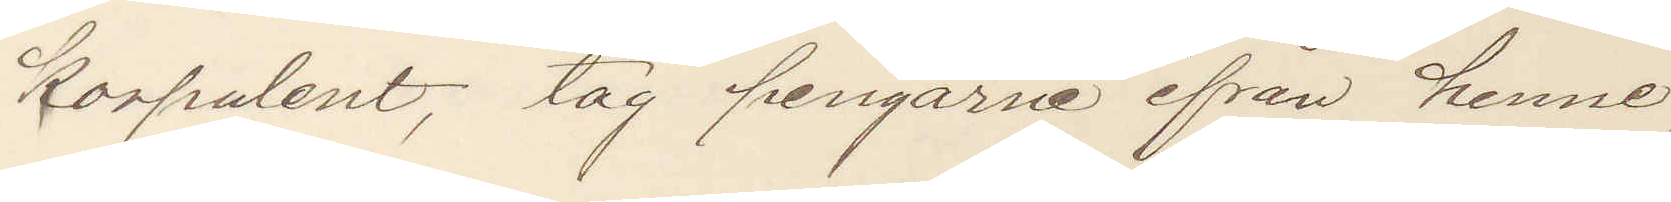korpulent, tag pengarne ifrån henne
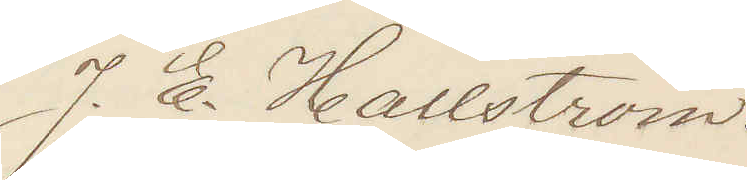J. E. Hallström.
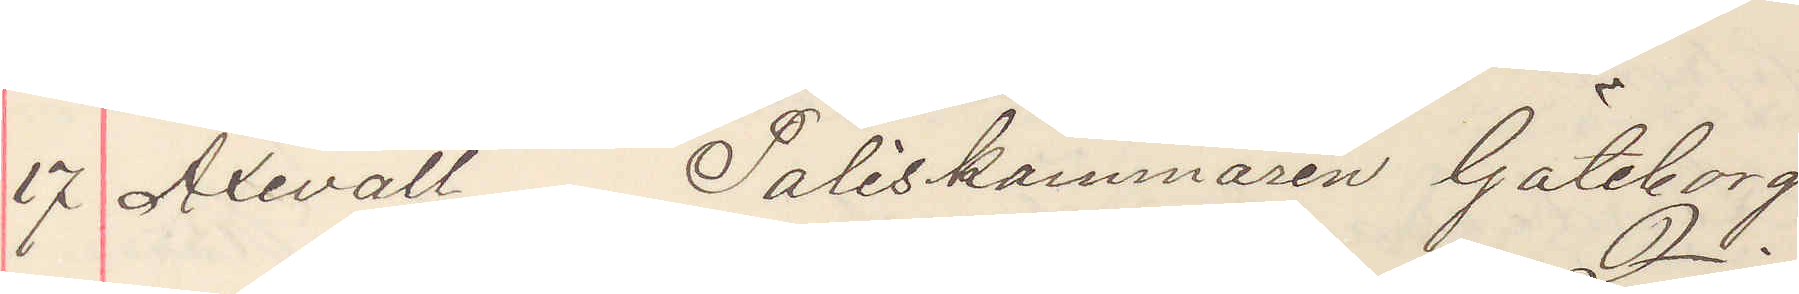17 Axevall Poliskammaren Göteborg
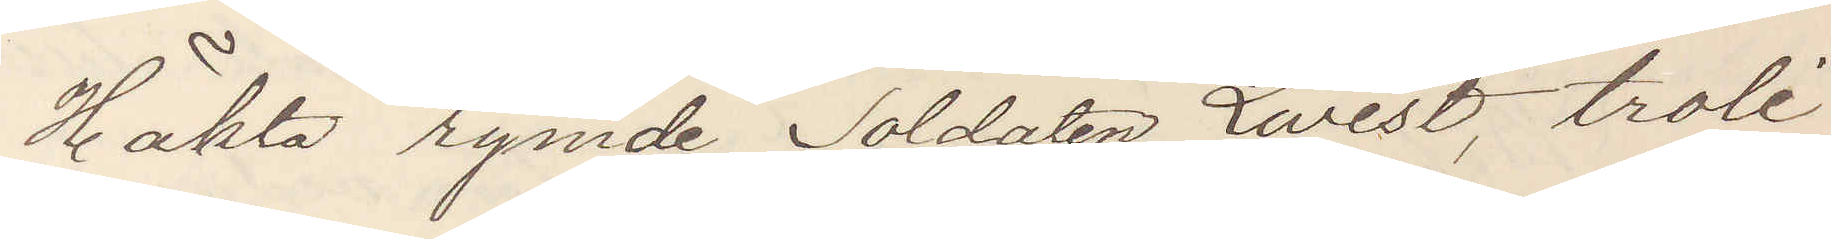Häkta rymde Soldaten Qvist, troli¬
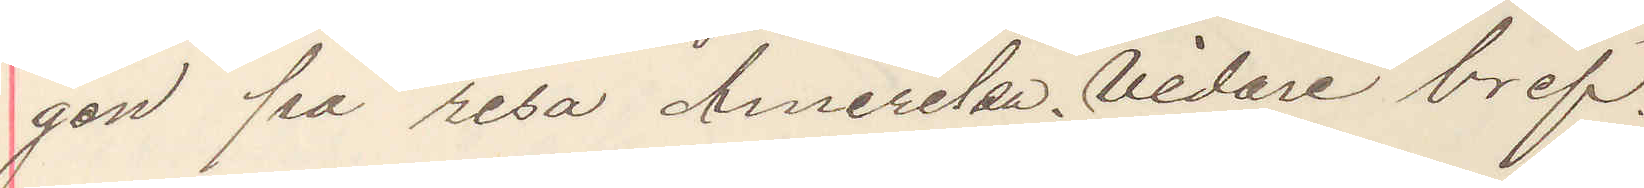gen på resa Amerika. Vidare bref.
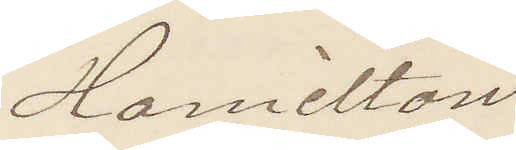Hamilton
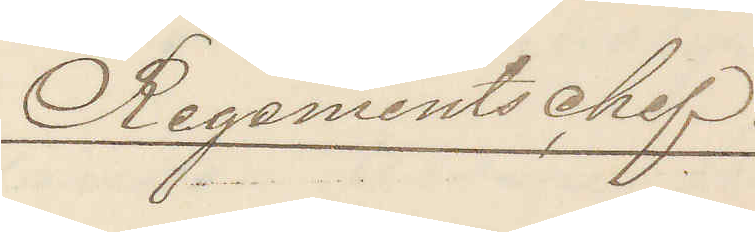Regementschef.
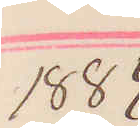1884.
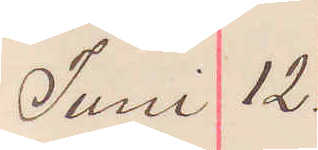Juni 12.
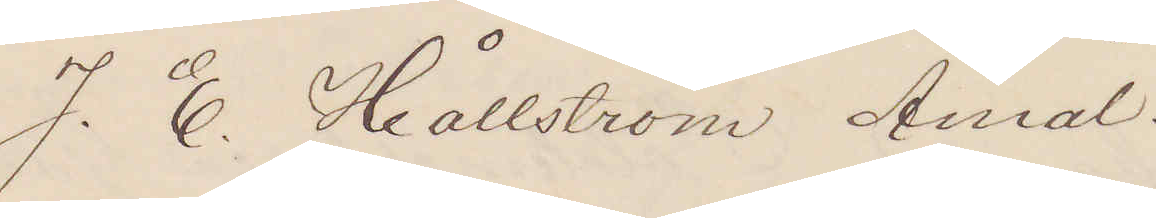J. E. Hållström Åmål.
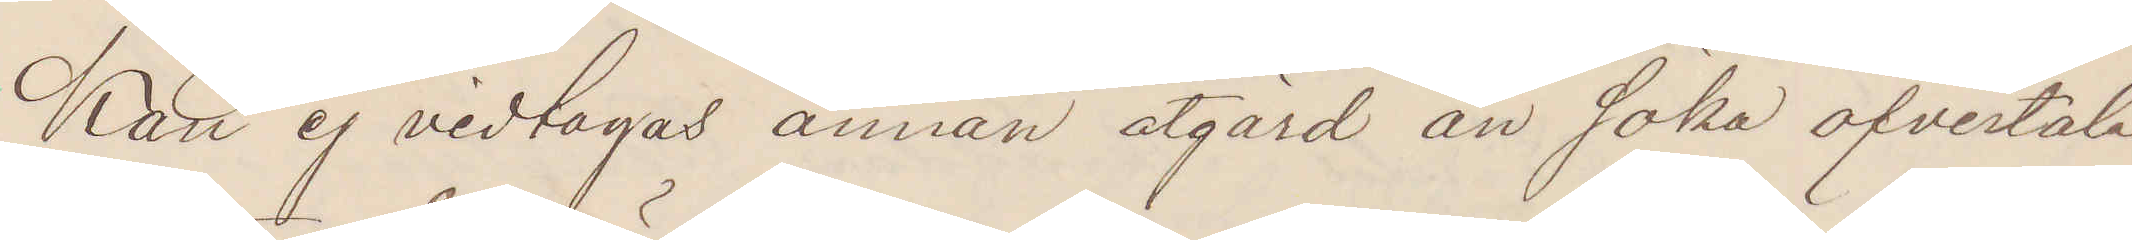Kan ej vidtagas annan åtgärd än söka öfvertala
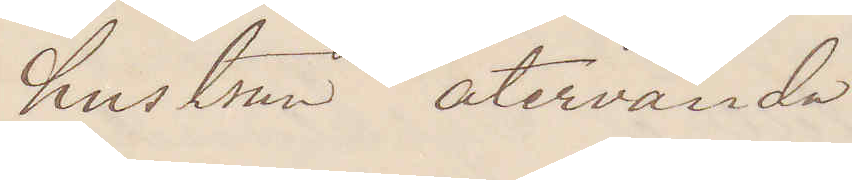hustrun återvända.
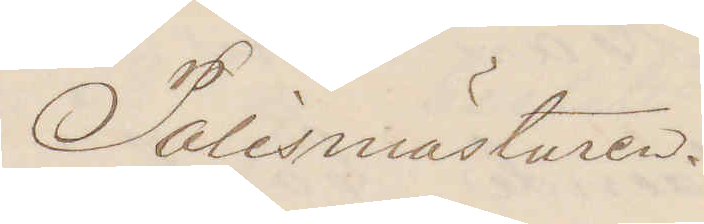Polismästaren.
